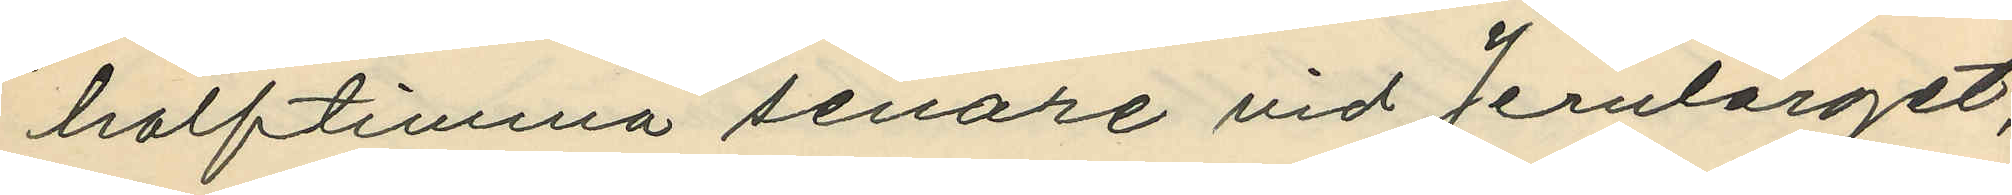halftimma senare vid Jernlorget,
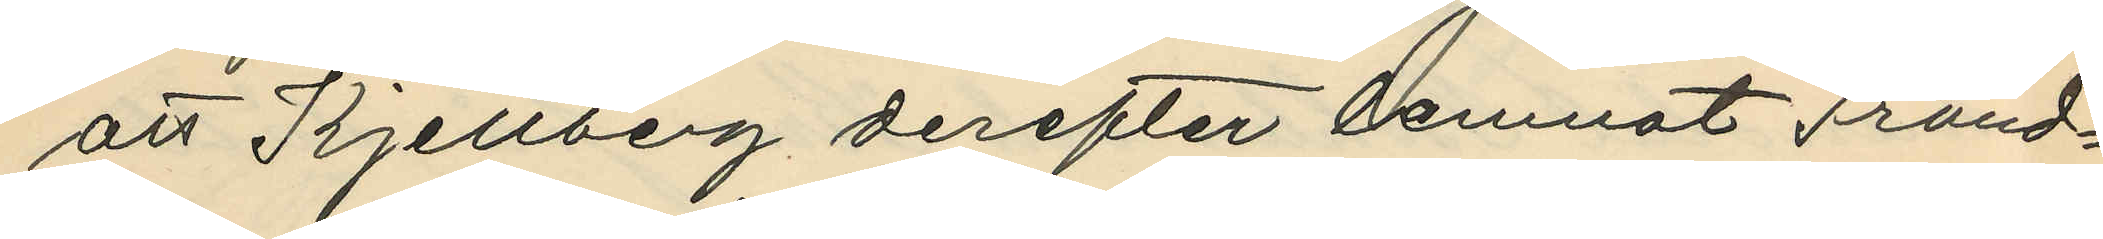att Kjellberg derefter lemnat Fränd¬
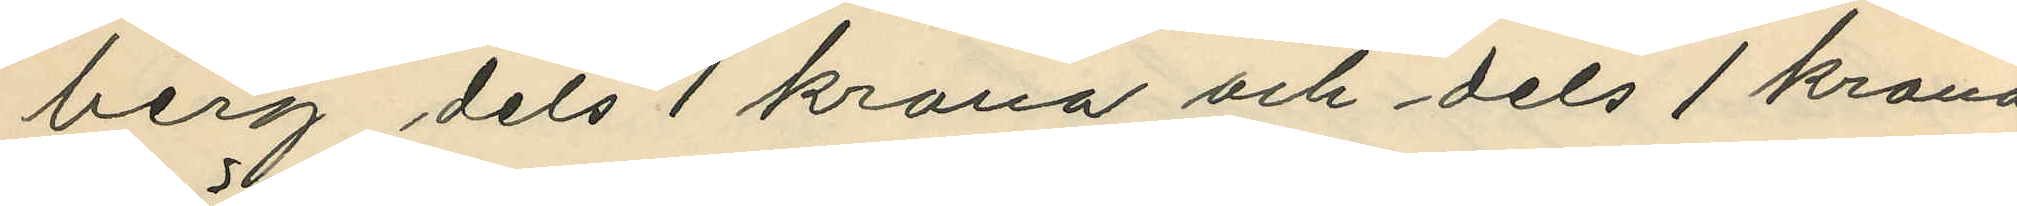berg dels 1 krona och dels 1 krona
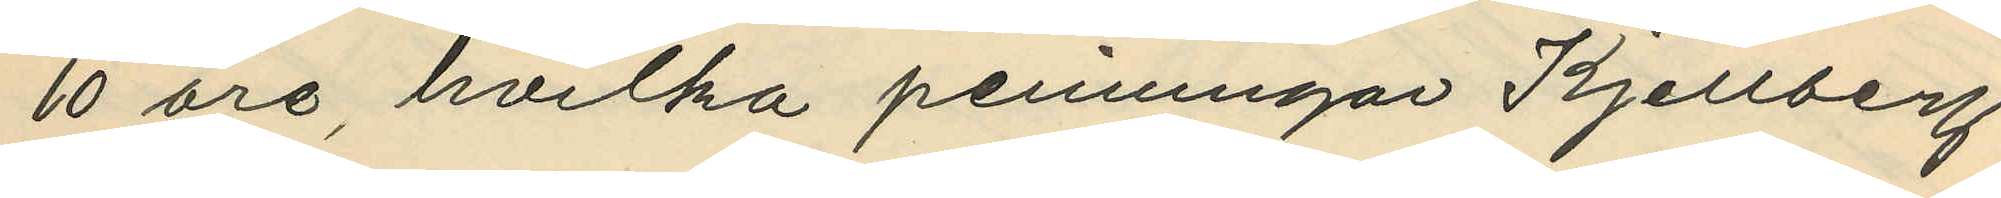10 öre, hvilka peninngar Kjellberg
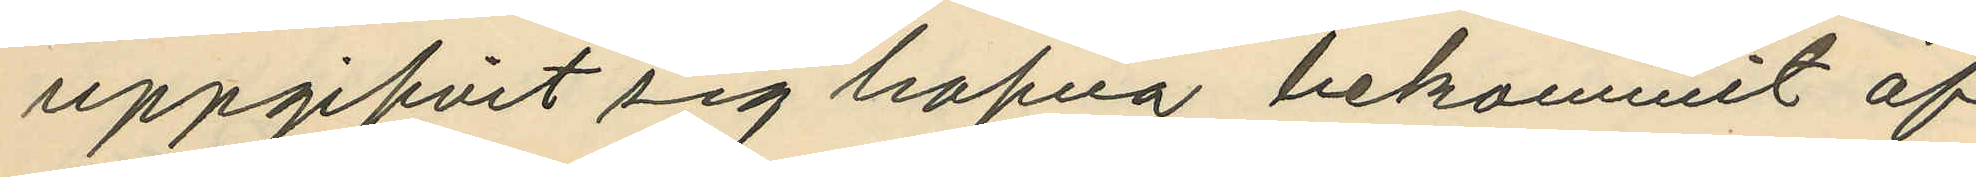uppgifvit sig hafva bekommit af
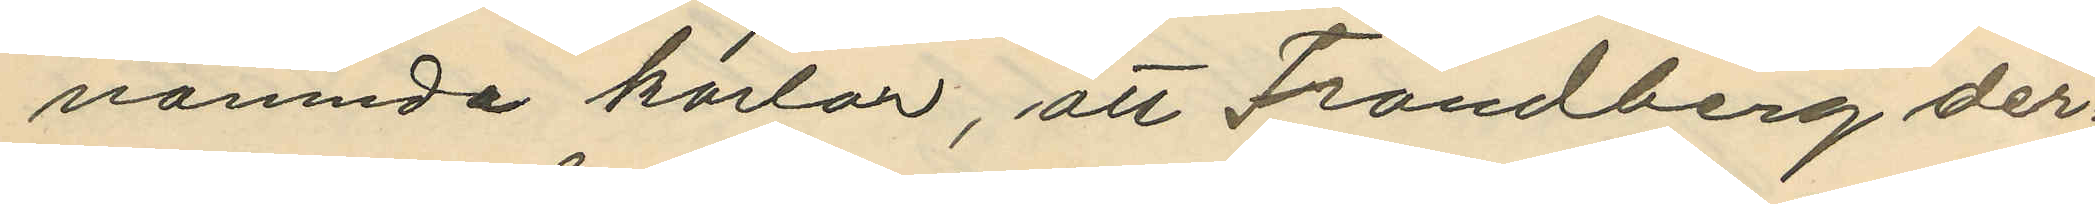nämnde karlar, att Frändberg der¬
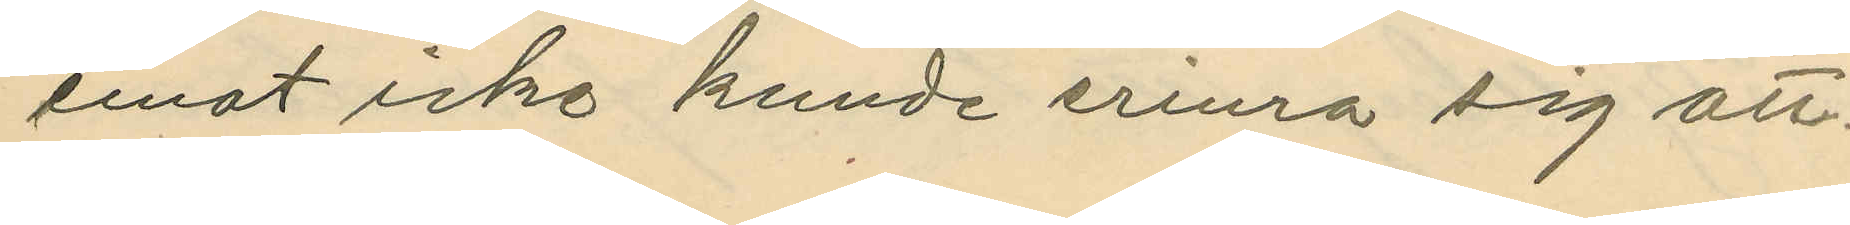emot icke kunde erinra sig att
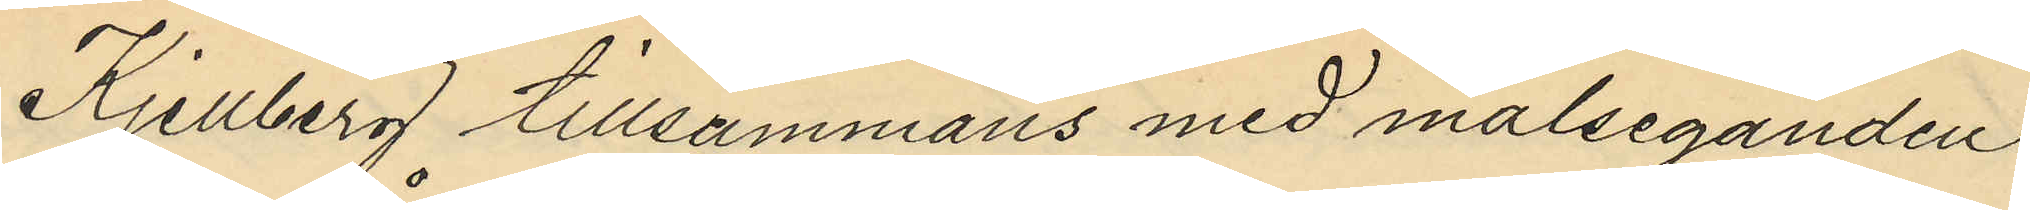Kjellberg tillsammans med målseganden
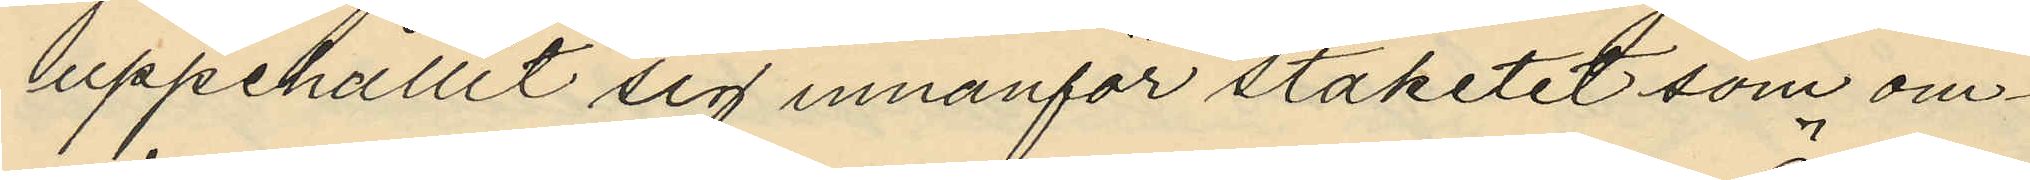uppehållit sig innanför staketet som om¬
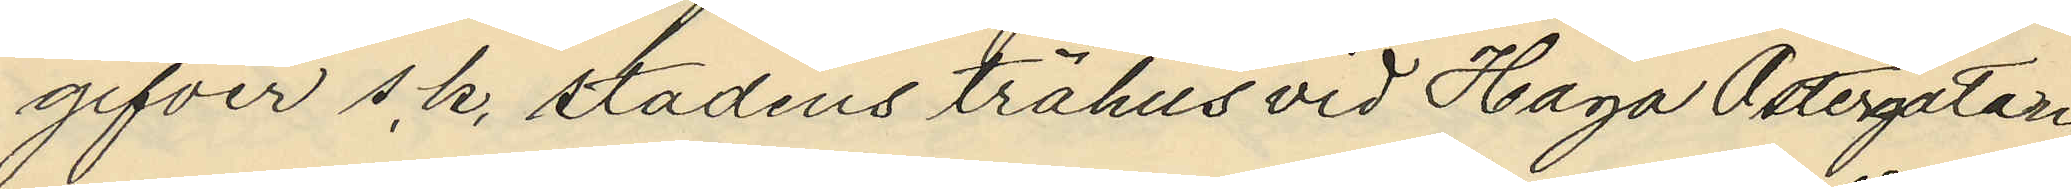gifver s.k. stadens trähus vid Haga Östergatan,
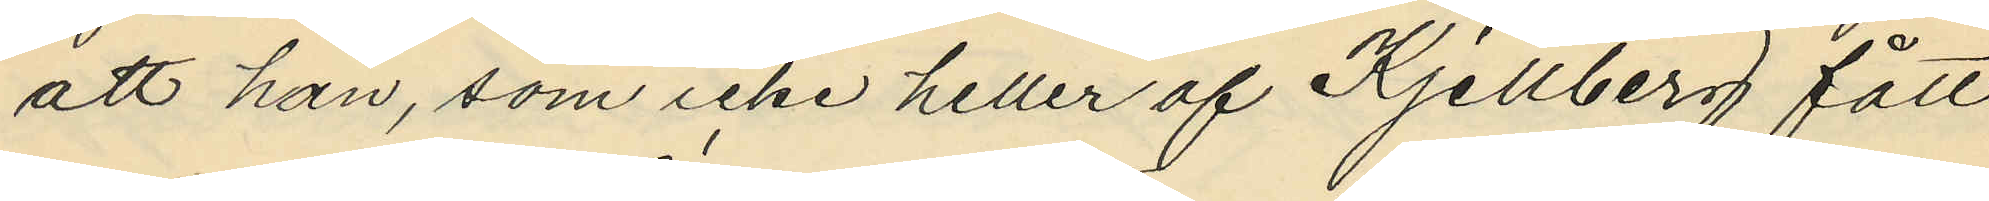att han, som icke heller af Kjellberg fått
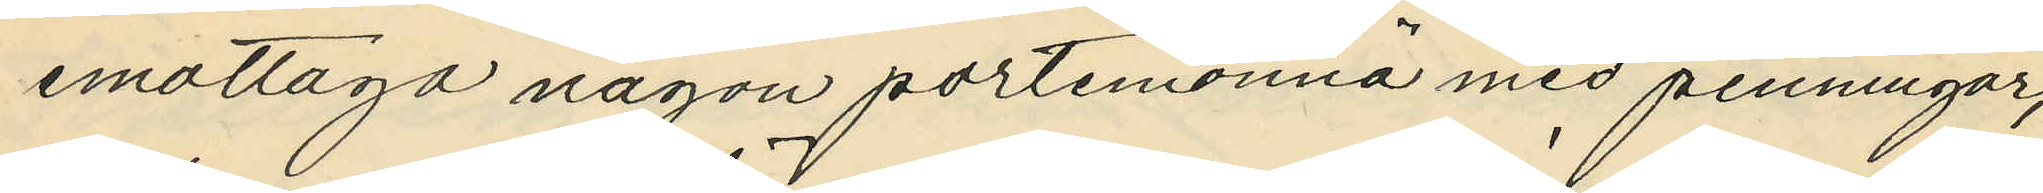emottaga någon portemonnä med penningar,
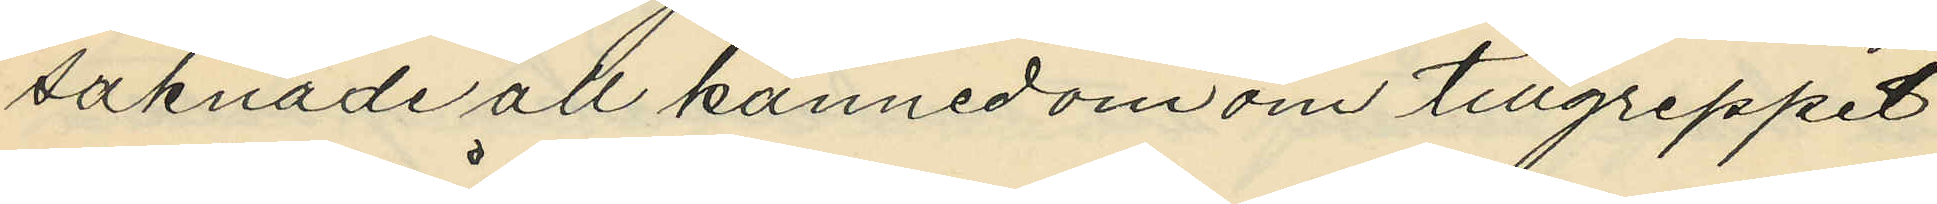saknade all kännedom om tillgreppet
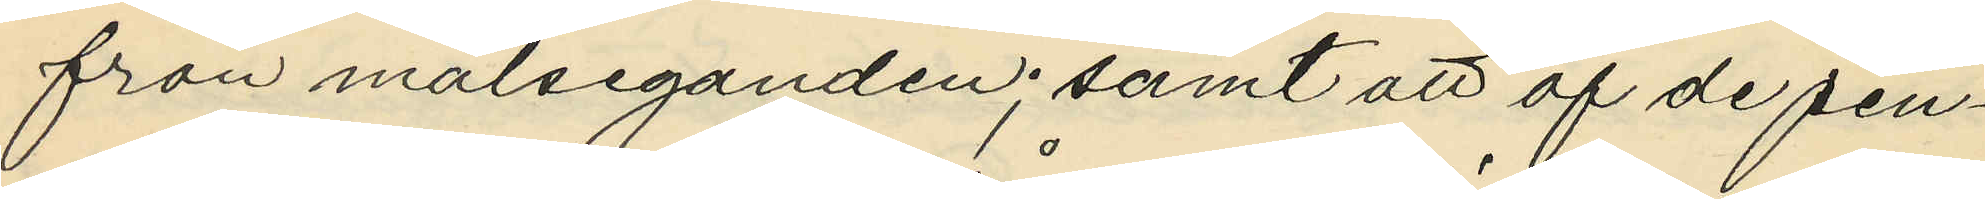från målseganden; samt att af de pen¬
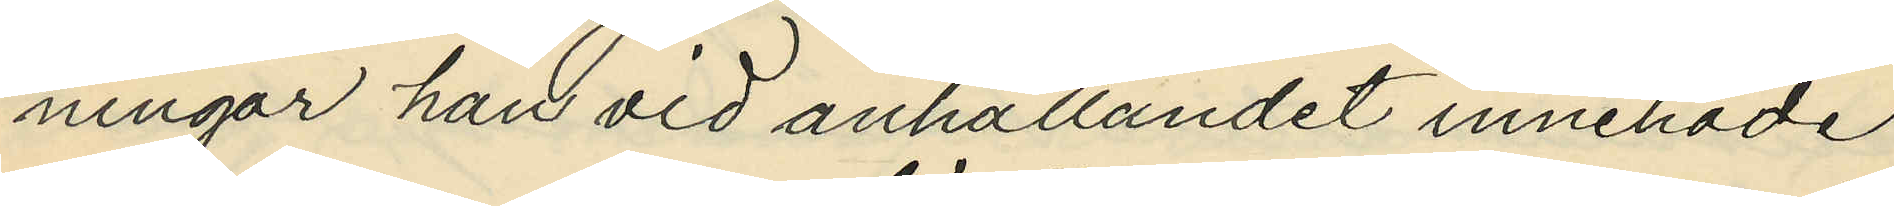ningar han vid anhållandet innehade
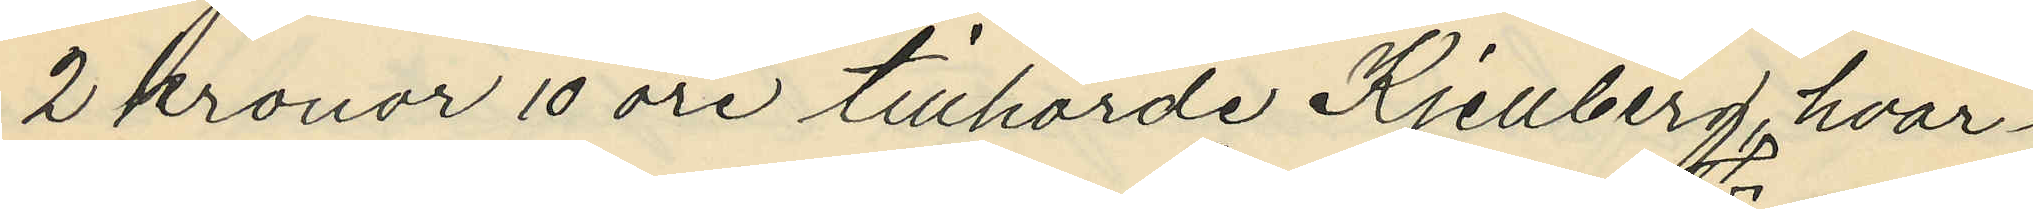2 kronor 10 öre tillhörde Kjellberg, hvar¬
